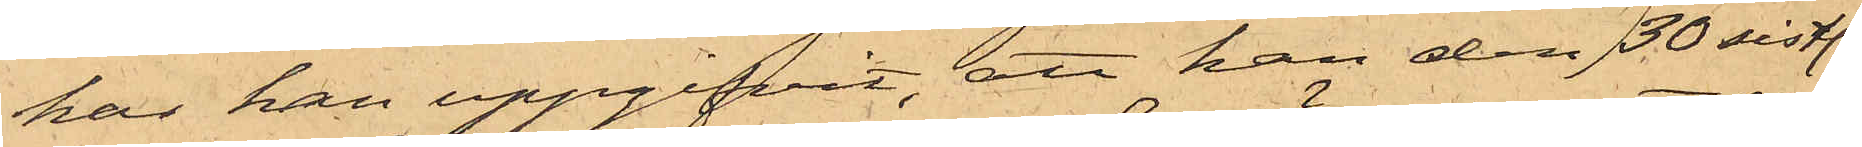har han uppgifvit, att han den 30 sistl.
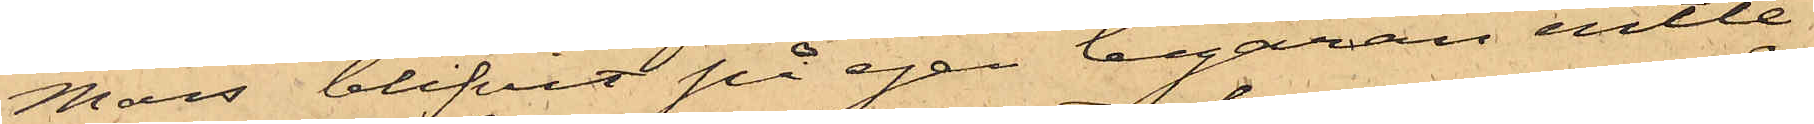Mars blifvit på egen begäran entle¬
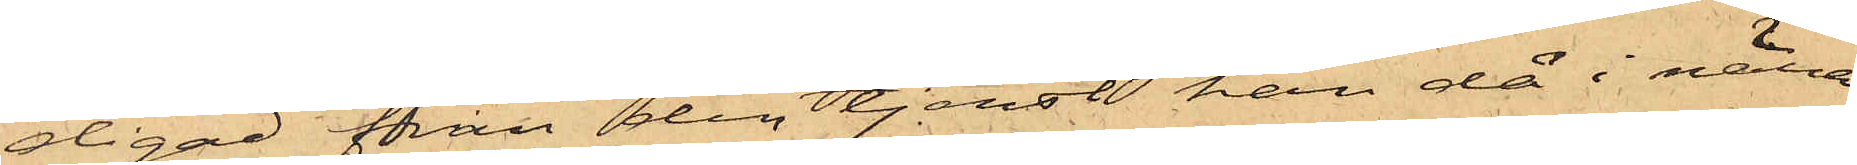digad från den tjenst han då i nära
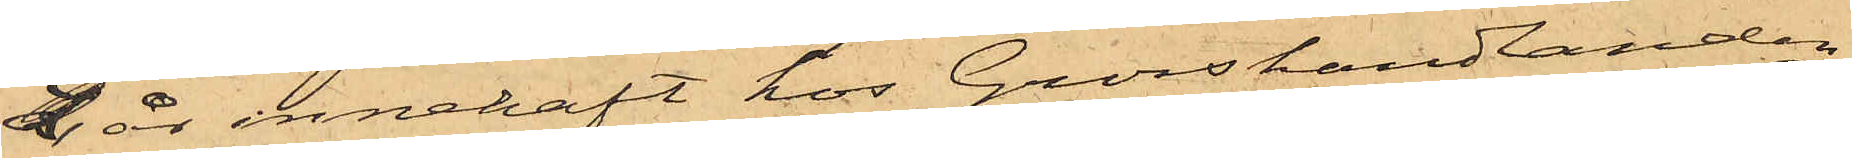2 år innehaft hos Grosshandlanden
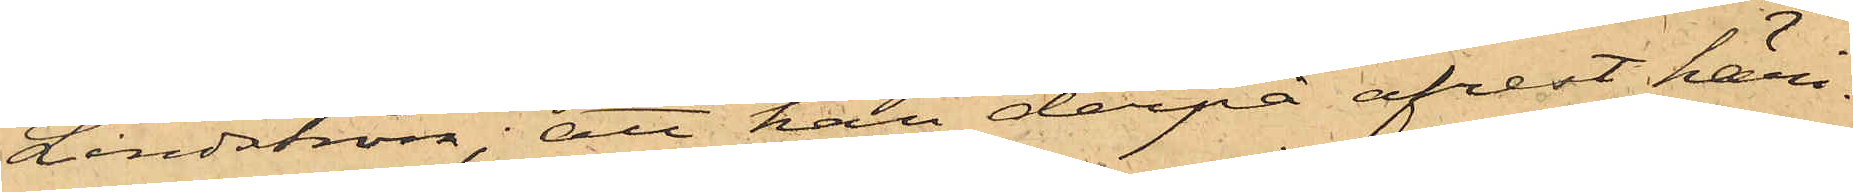Lindström; att han derpå afrest häri¬
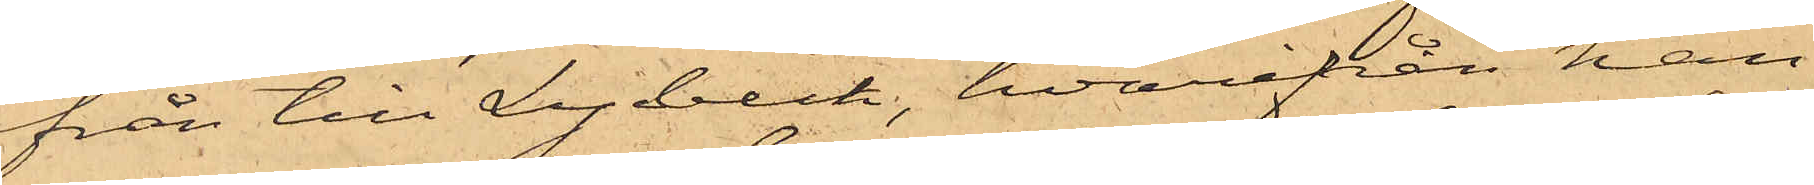från till Lybeck, hvarifrån han
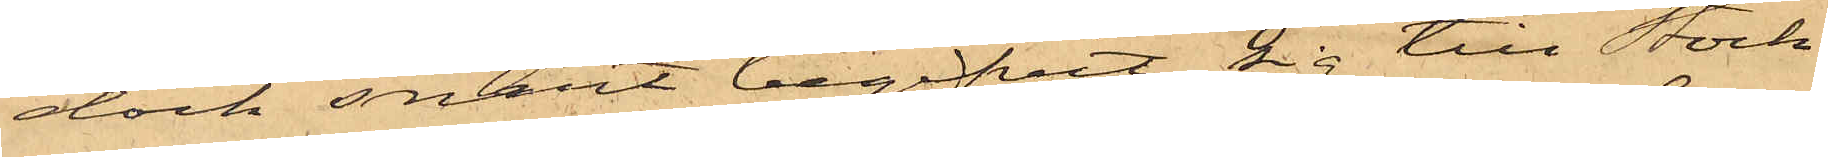dock snart begifvit sig till Stock¬
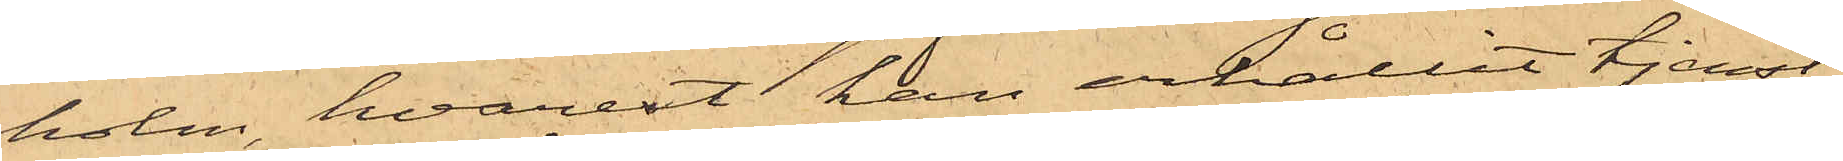holm, hvarest han erhållit tjenst
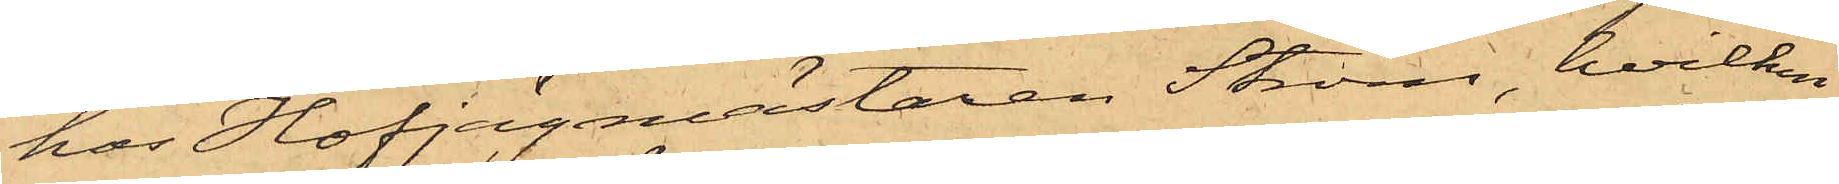hos Hofjägmästaren Ström, hvilken
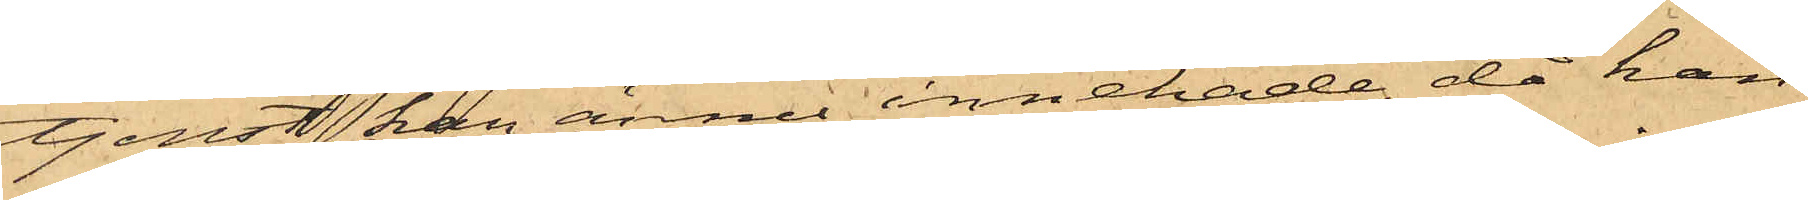tjenst han ännu innehade, då han
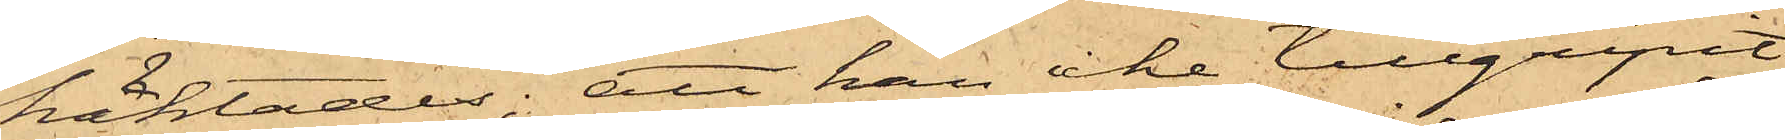häktades; att han icke tillgripit
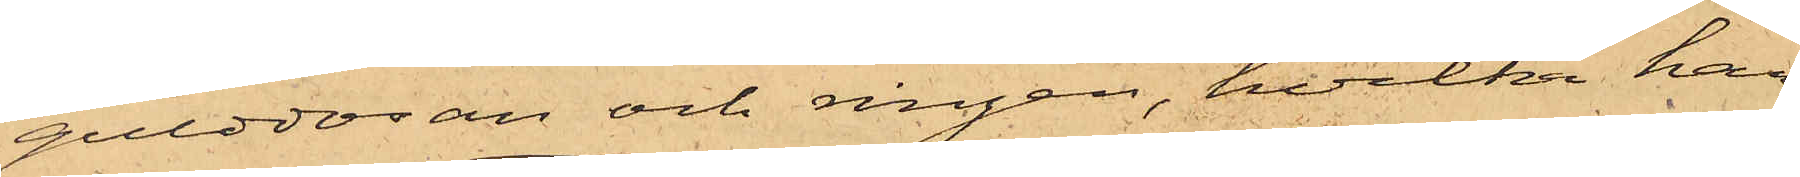gulddosan och ringen, hvilka han
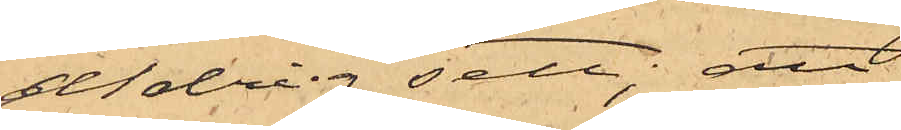aldrig sett; att
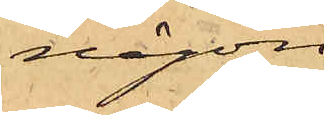någon
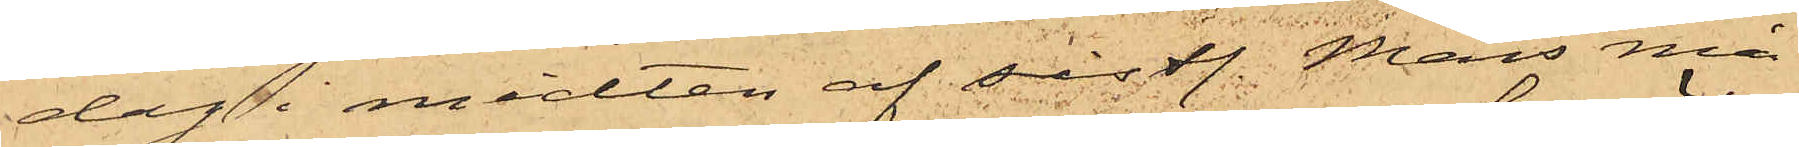dag i midten af sistl. Mars må¬
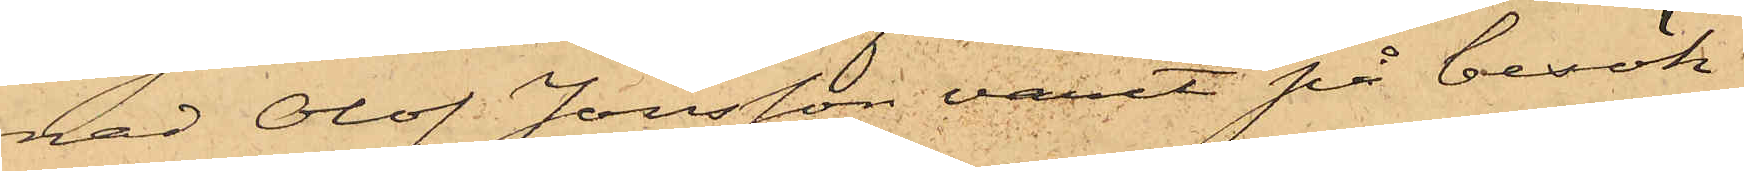nad Olof Jonsson varit på besök
